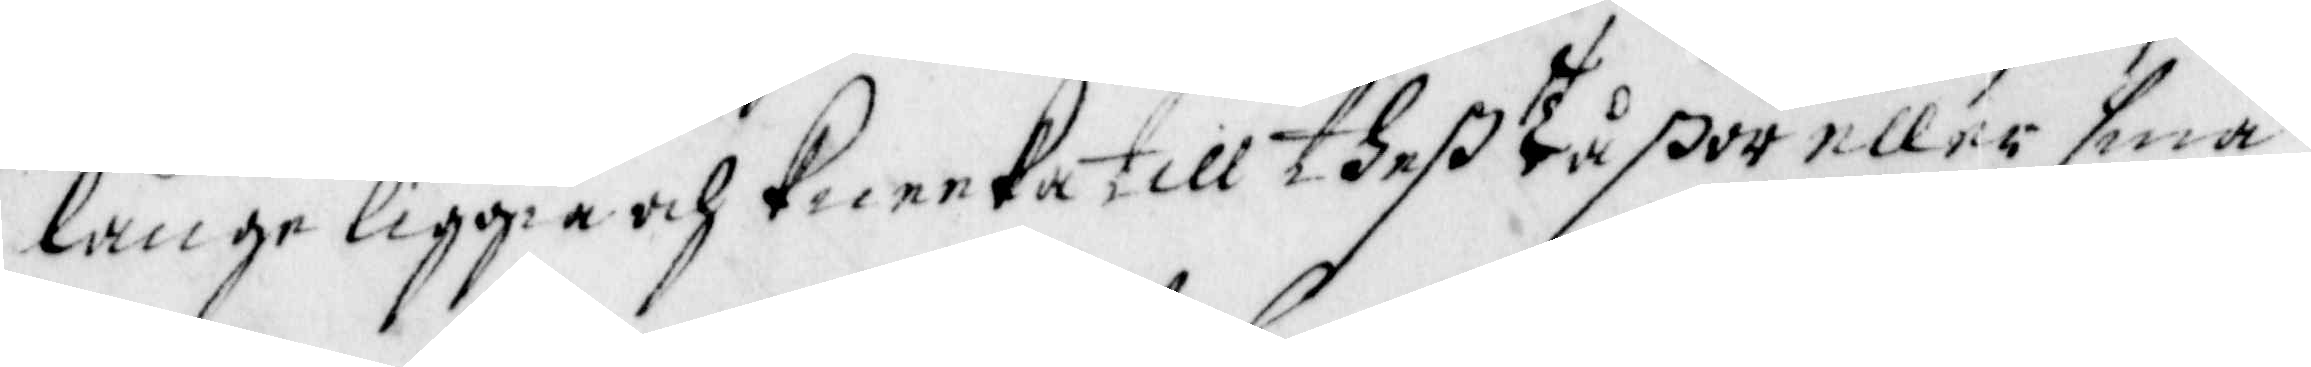länge liggia och Kneeka till theß Tåßor eller små
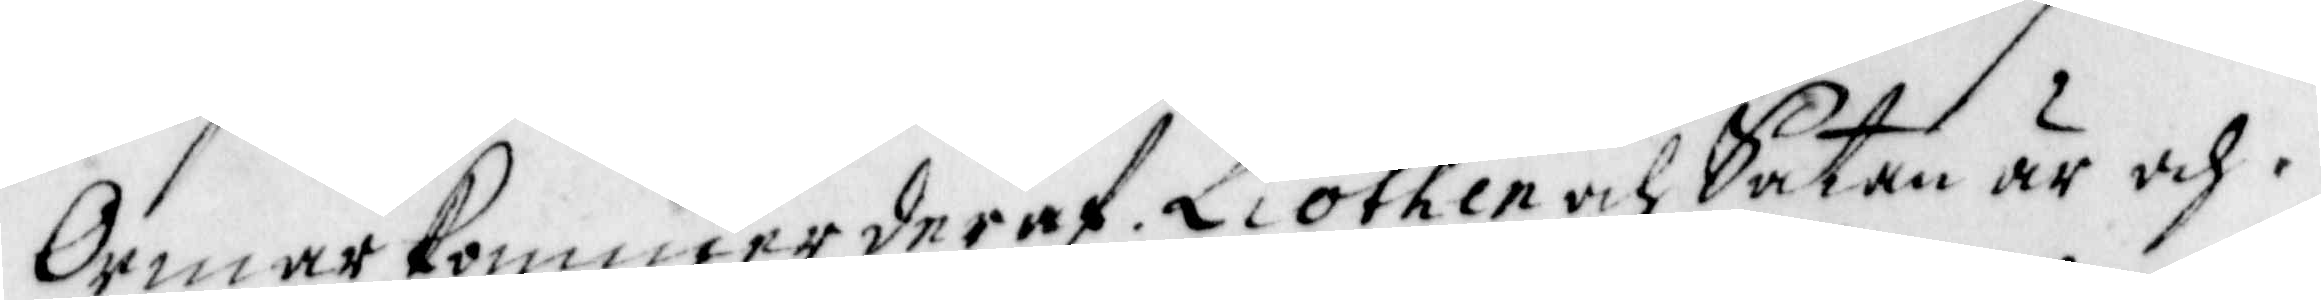Ormar kommer deraf. Liothen och Satan är och 
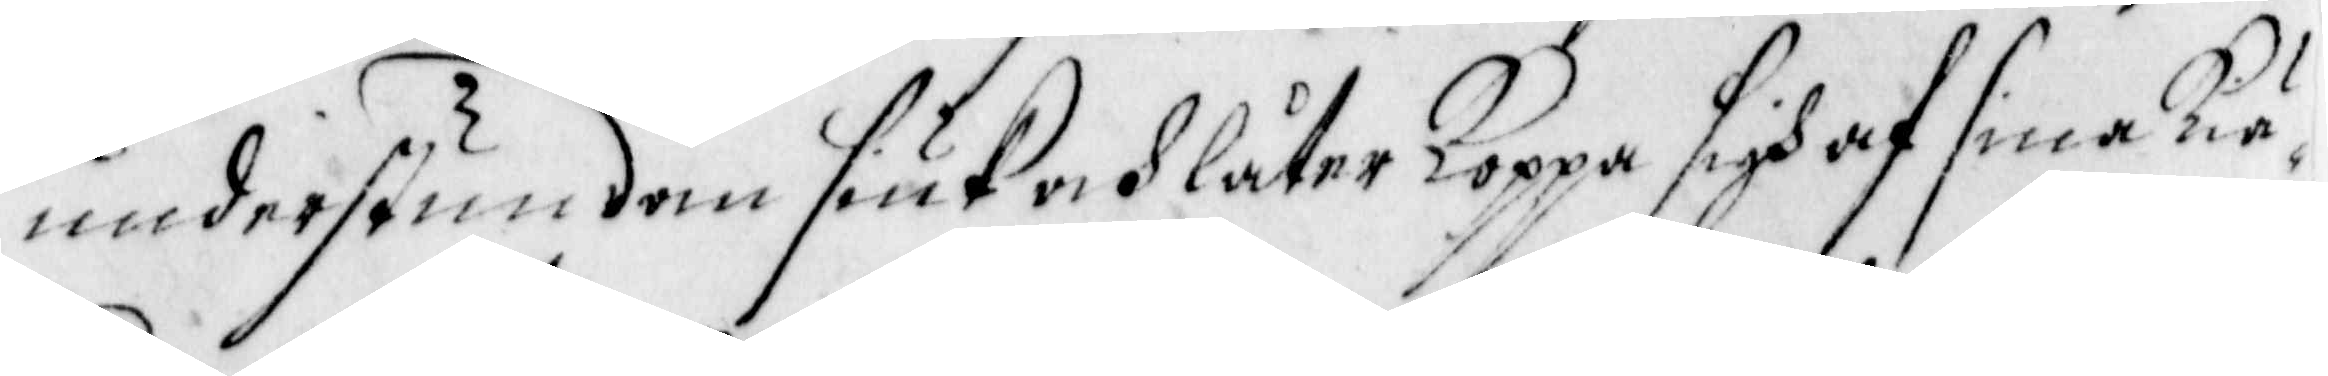understundom siuk och låter Koppa sigh af sina kiä¬
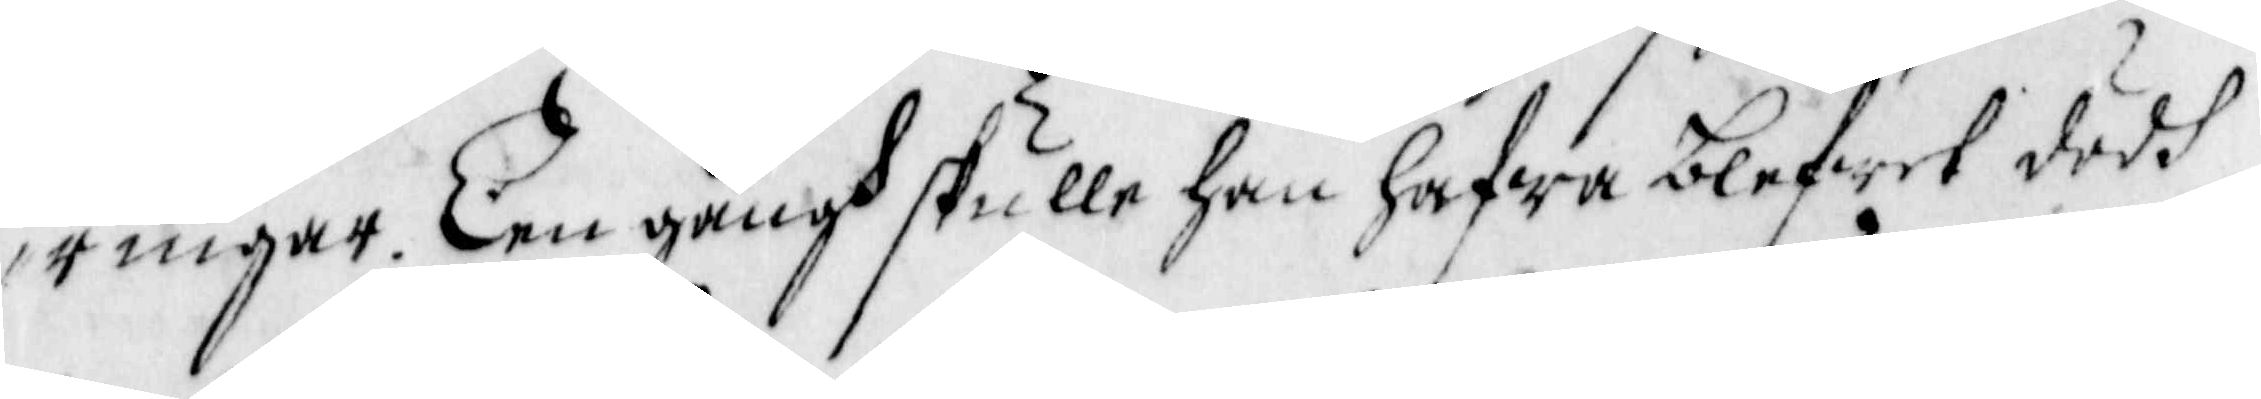ringar. Een gångh skulle han hafwa blefwet dödh
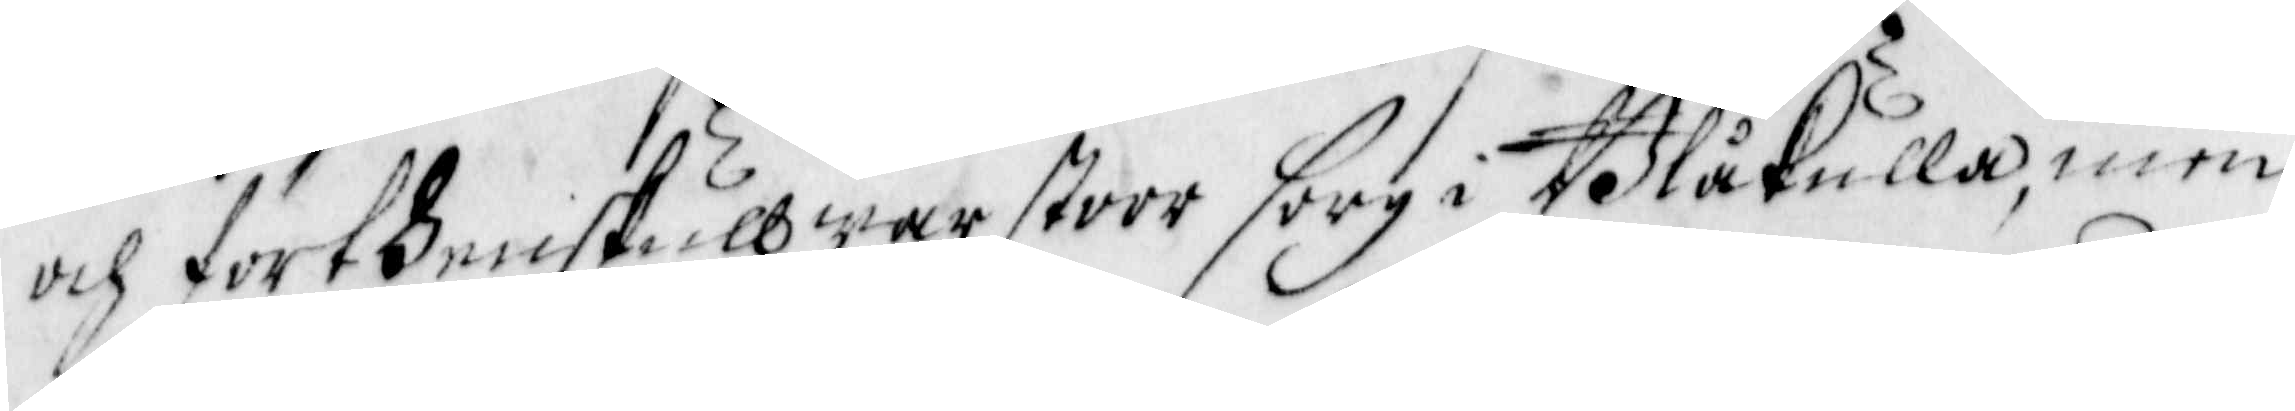och förthenskull war stoor sorg i Blåkulla, men
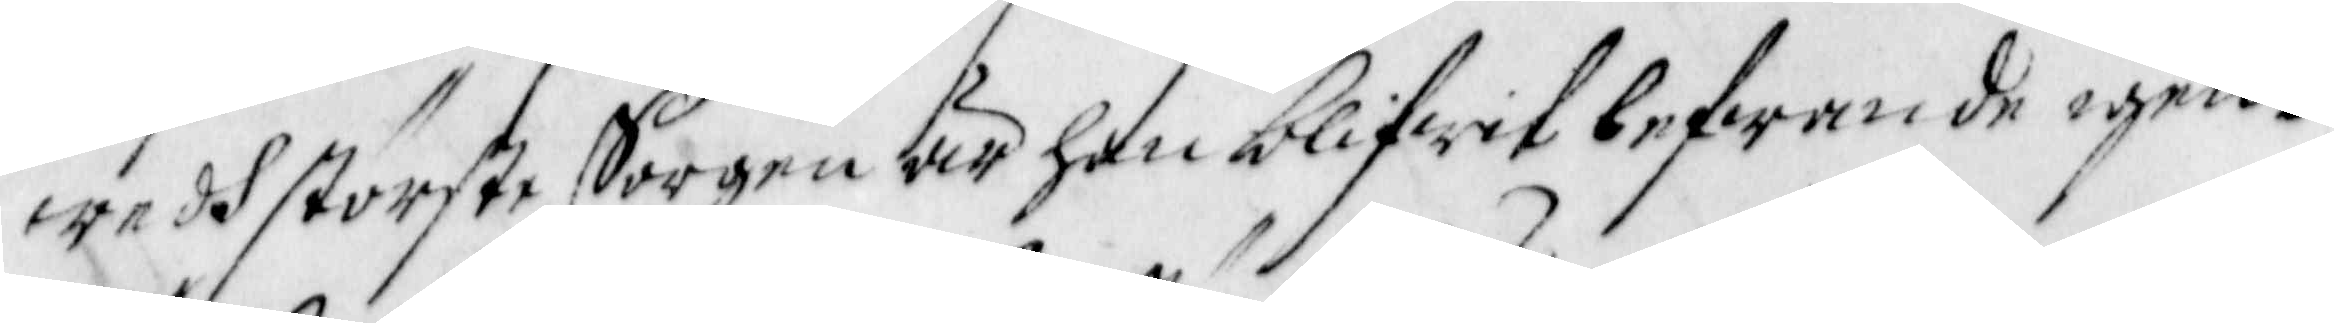wedh störste Sorgen är han blifwet lefwande igen.
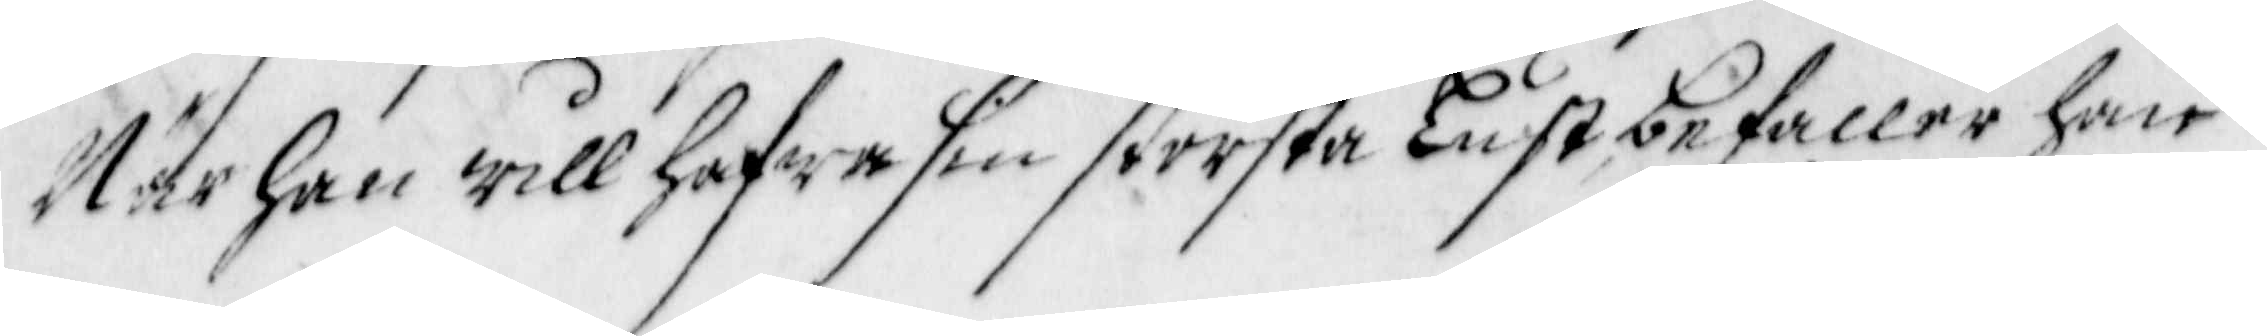När han will hafwa sin största Lust, befaller han
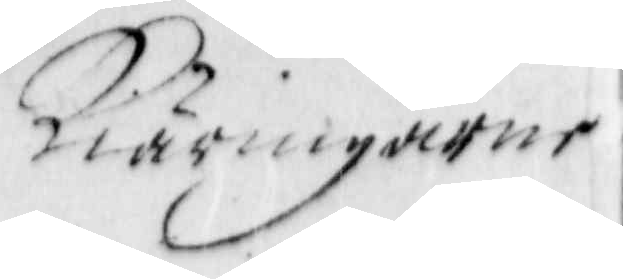Kiäringarne
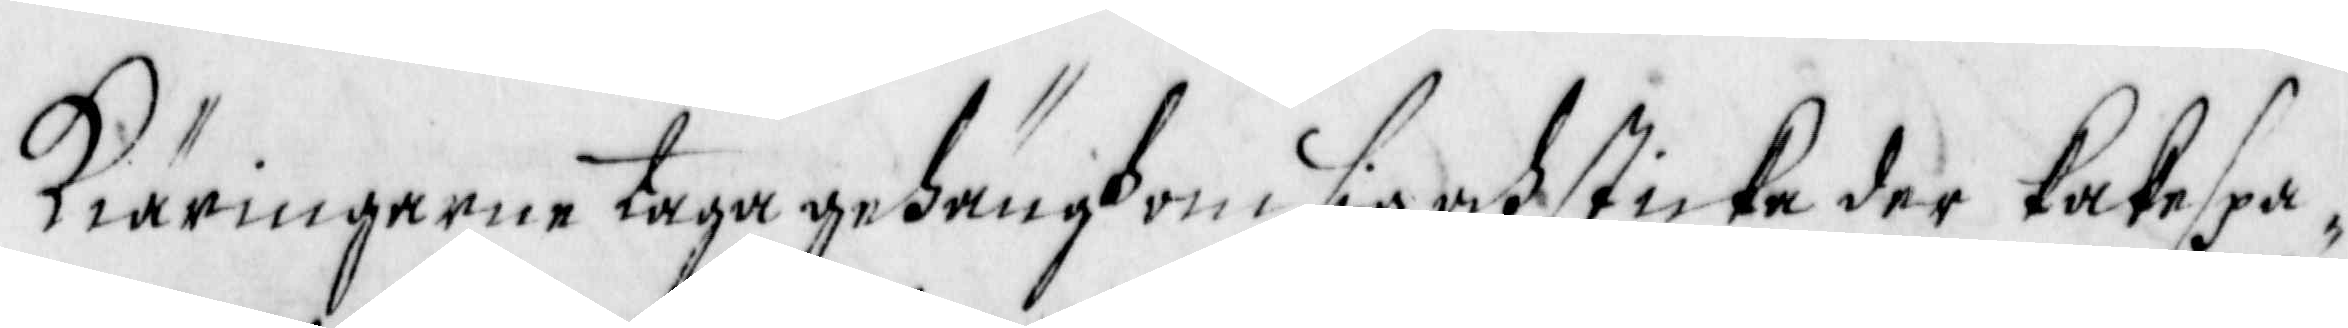Kiäringerne taga gehängh om sig ,och sticka der kakespa¬
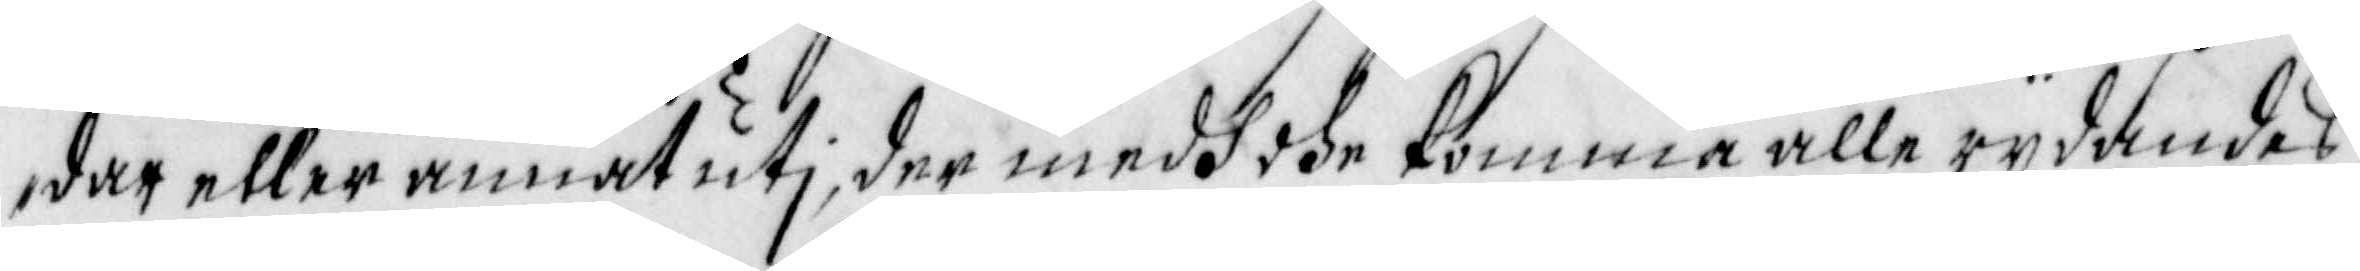dar eller annat uti, der medh dhe komma alle rydandes
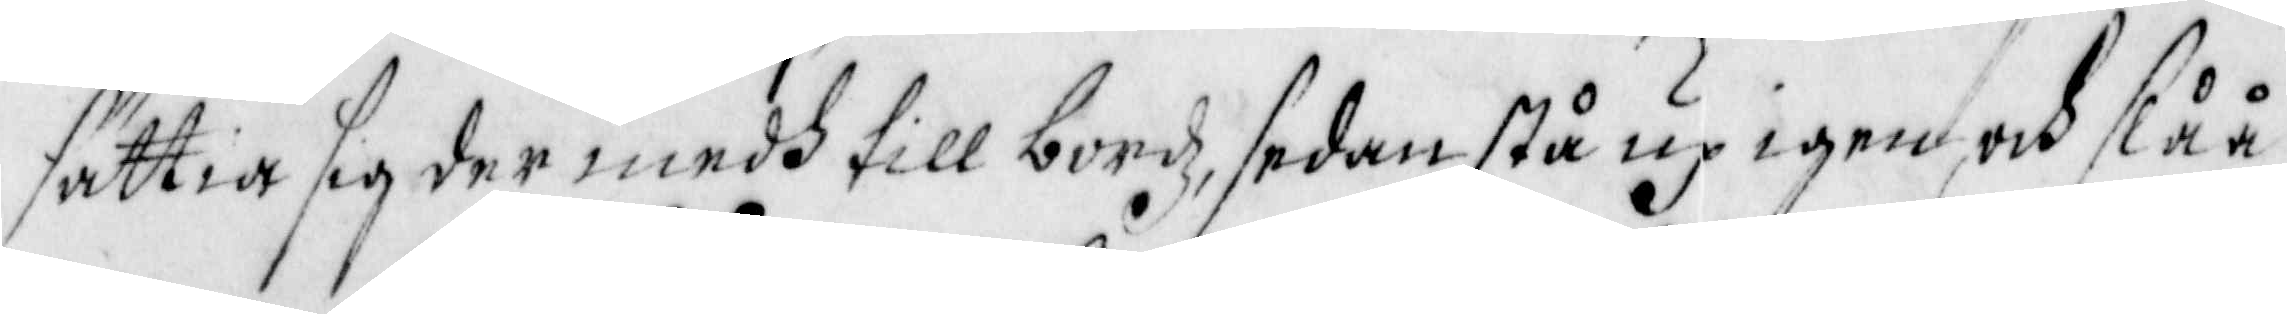sättia sig der medh till bordz, sedan stå up igen, och slåå
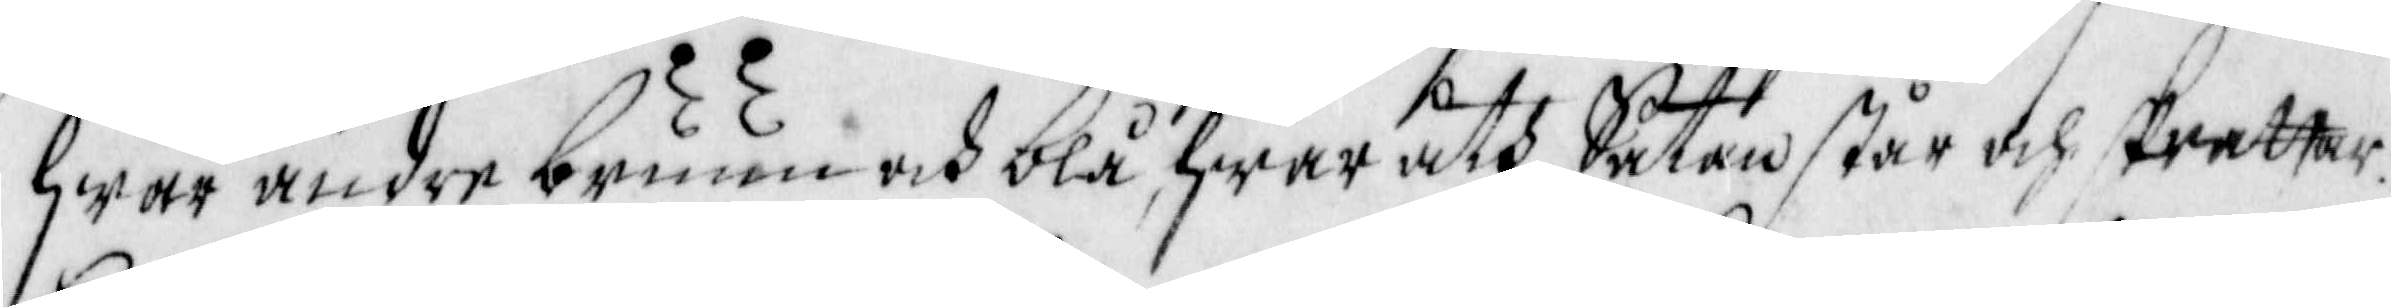hwar andre bruun och blå, hwar åth Satan står och skrattar.
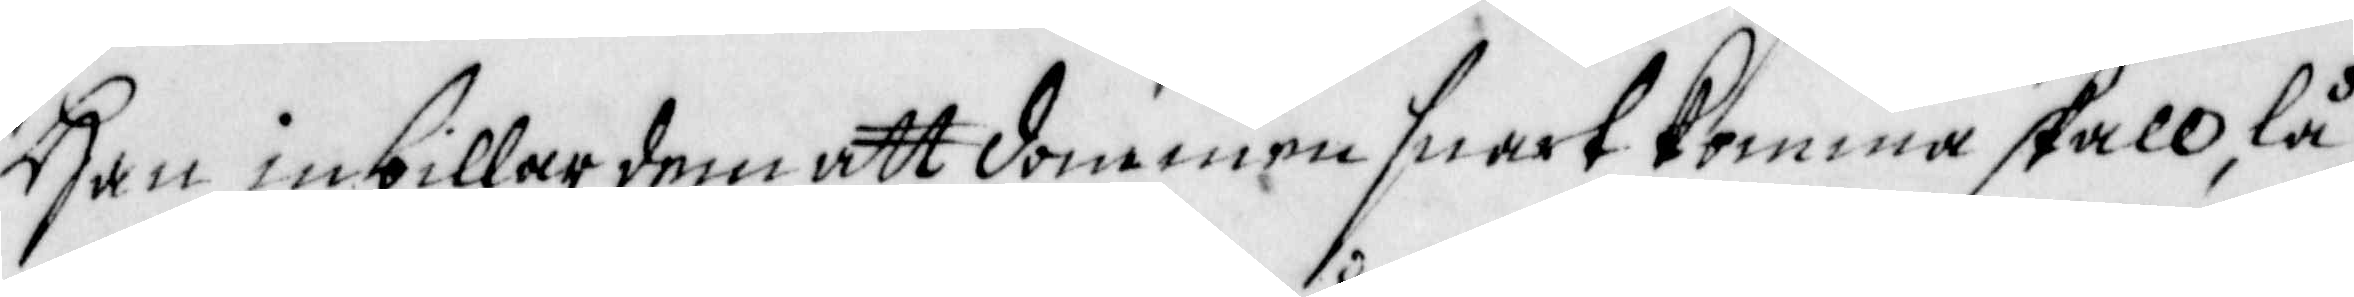Han inbillar dem att dommen snart komma skall, lå¬
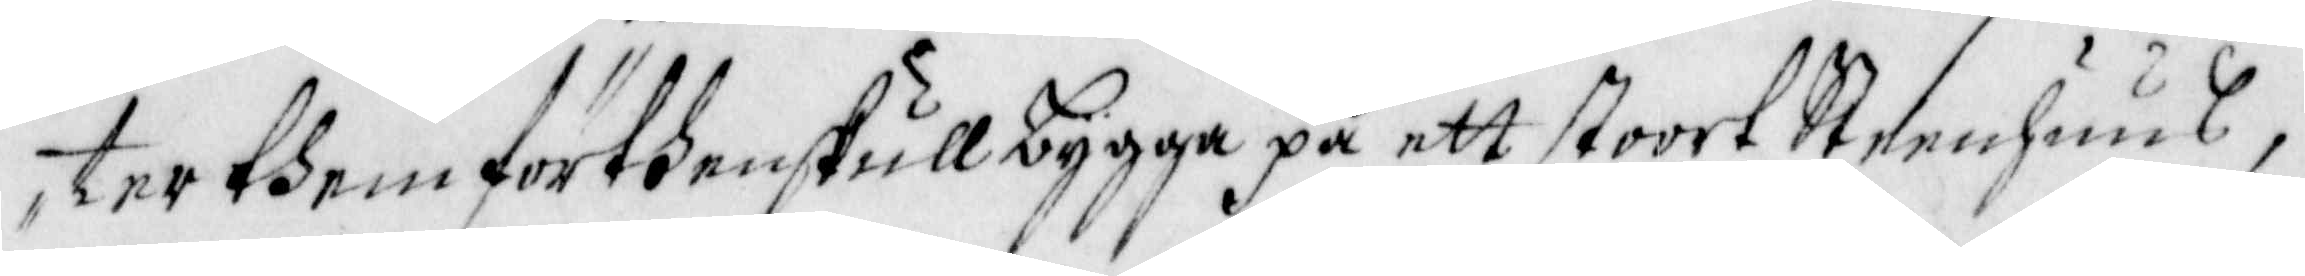ter dhem förthenskull bygga på ett stoorf Steenhuus,
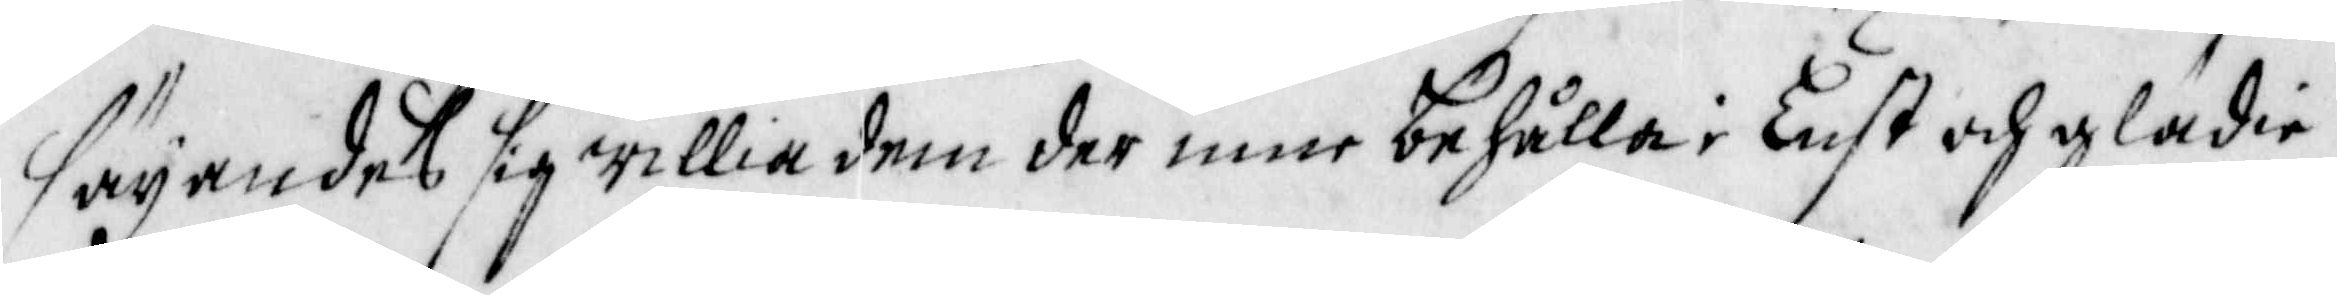säyandes sig willia dem der inne behålla i Lust och glädie,
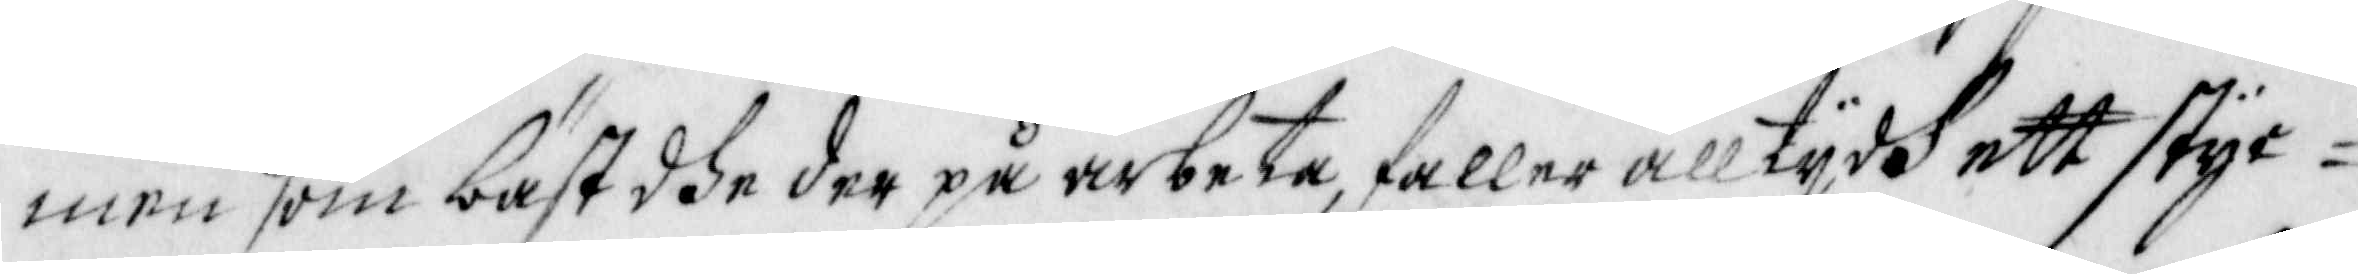men som bäst dhe der på arbeta, faller alltydh ett styc¬
